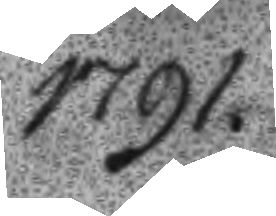1791.
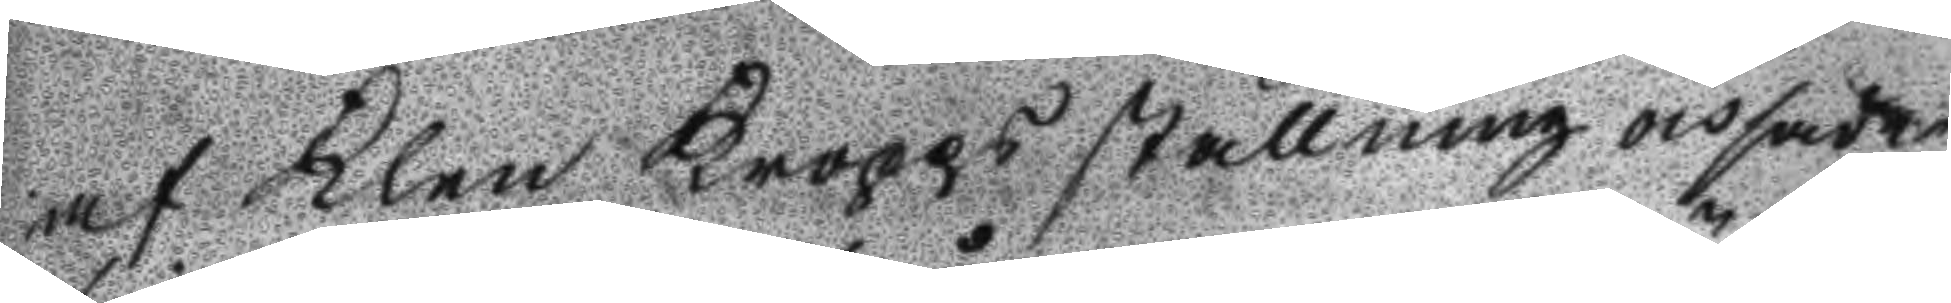af klen kroppsställning och sade
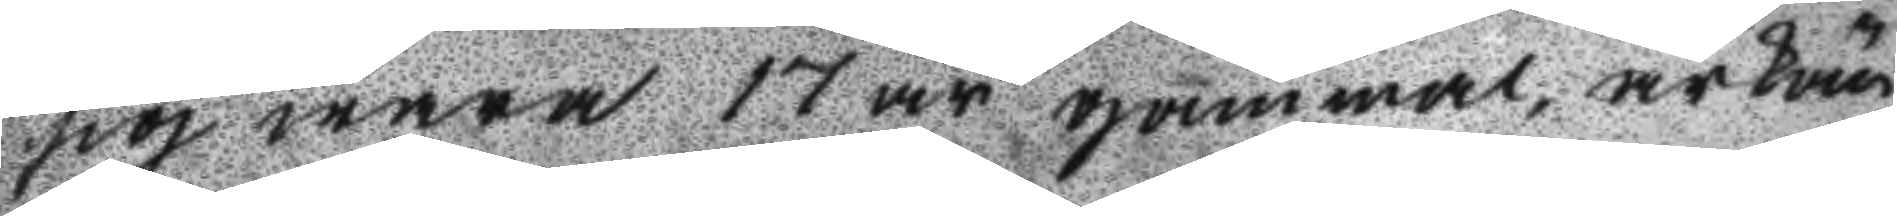sig wara 17 år gammal, ärkän
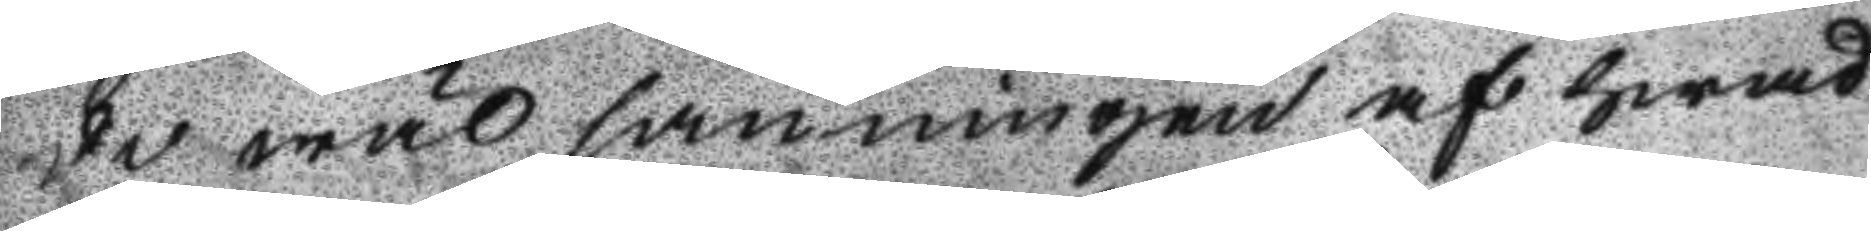de wäl sanningen af hwad
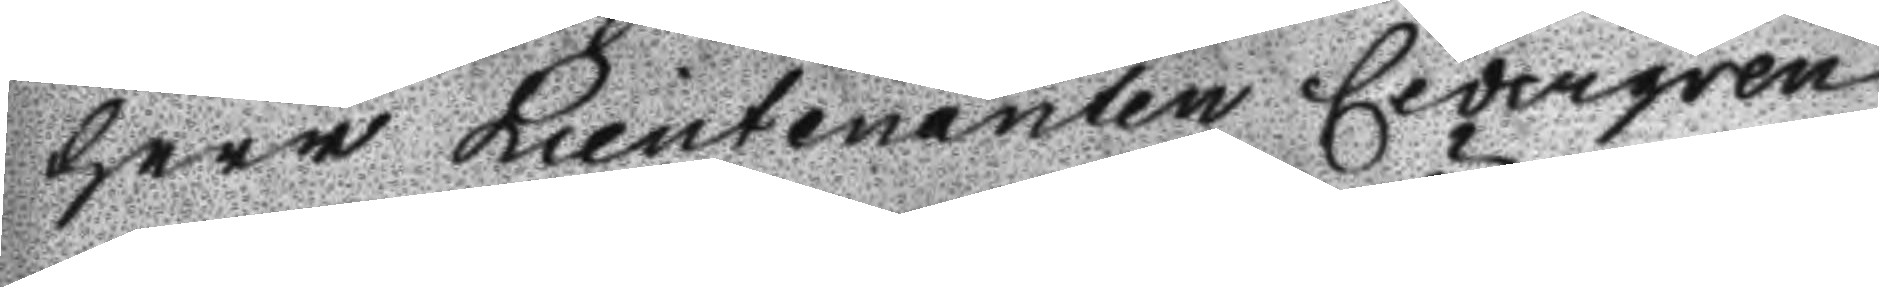Herr LieutenantenCedergren
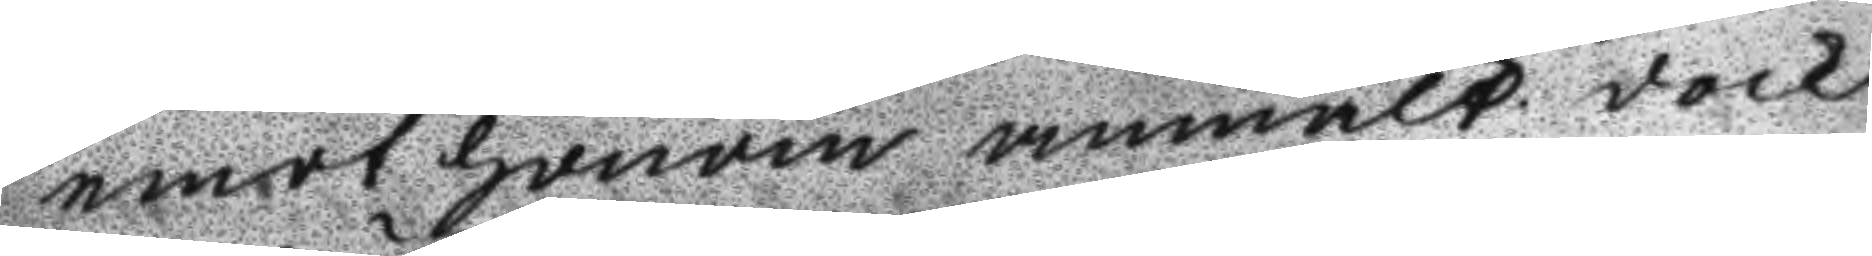emot honom anmält dock
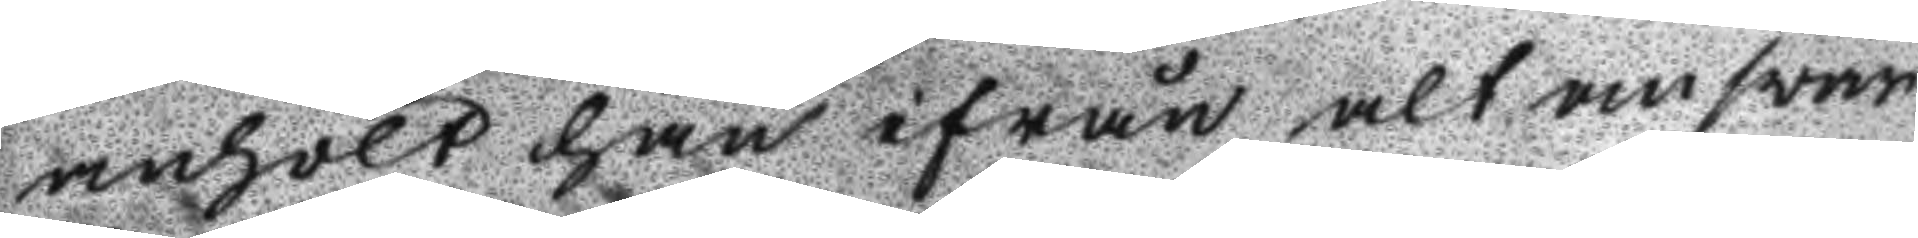anhölt han ifrån alt answar
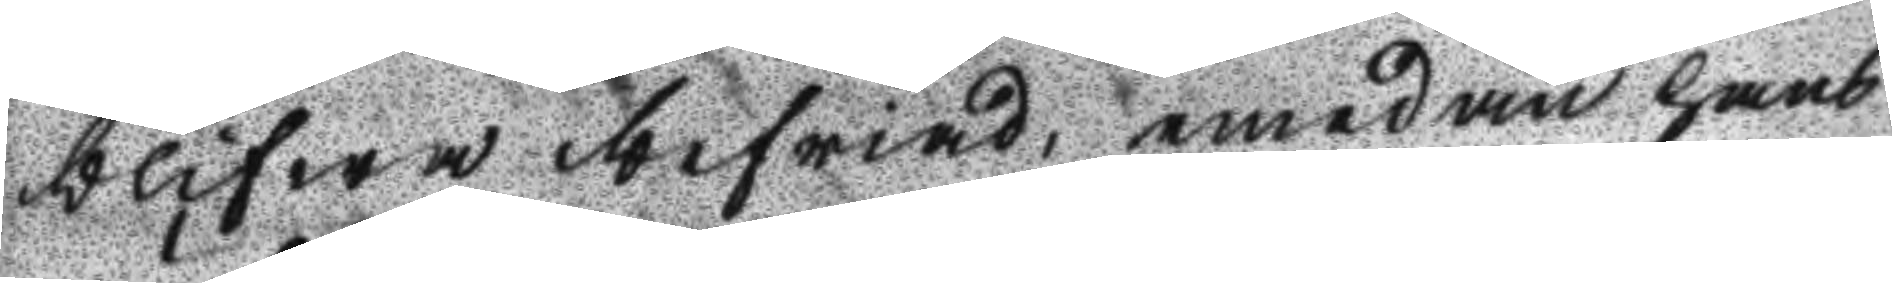blifwa befriad, emedan hans
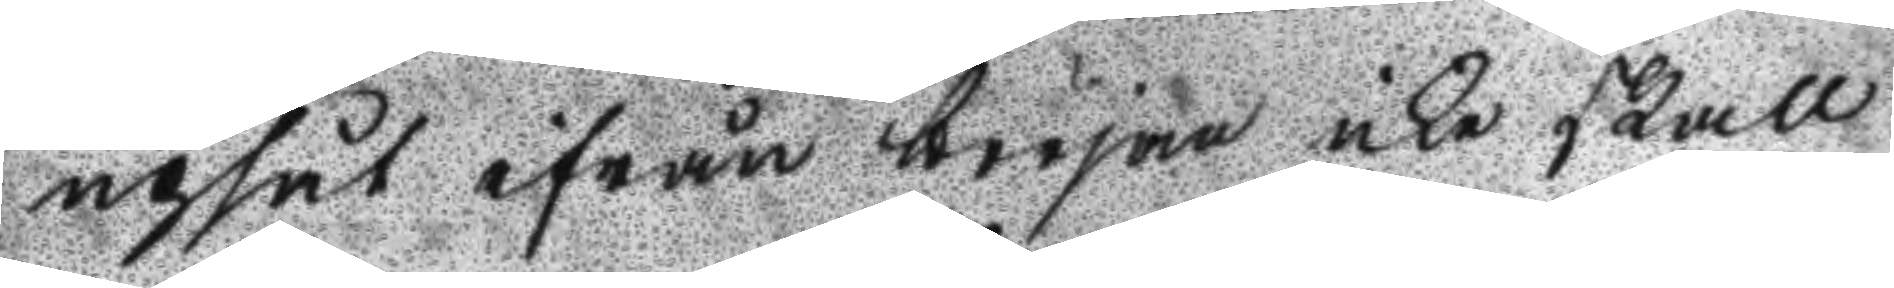upsåt ifrån början icke skall
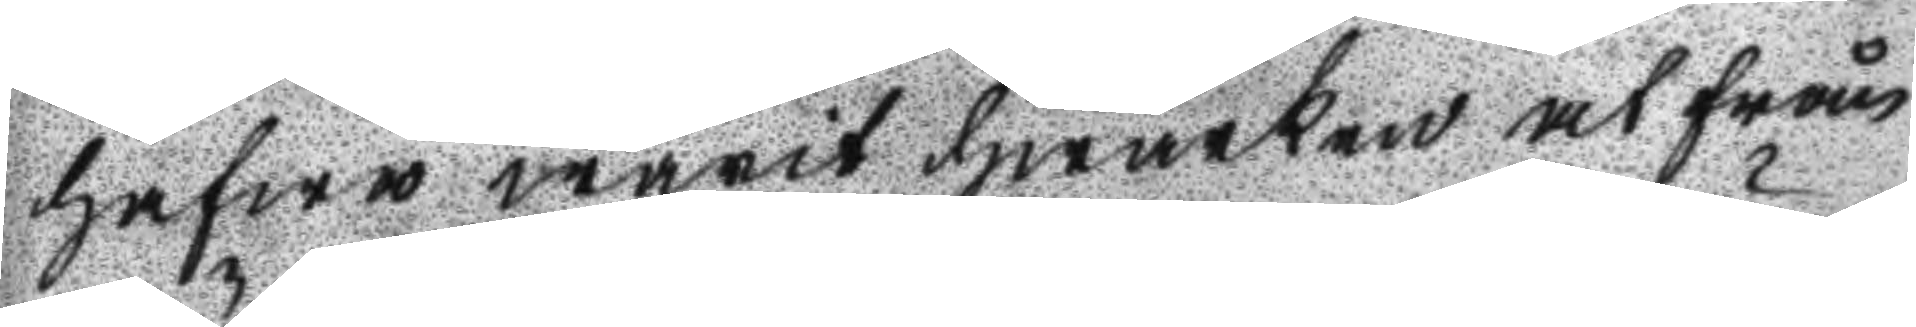hafwa warit hwarken at från
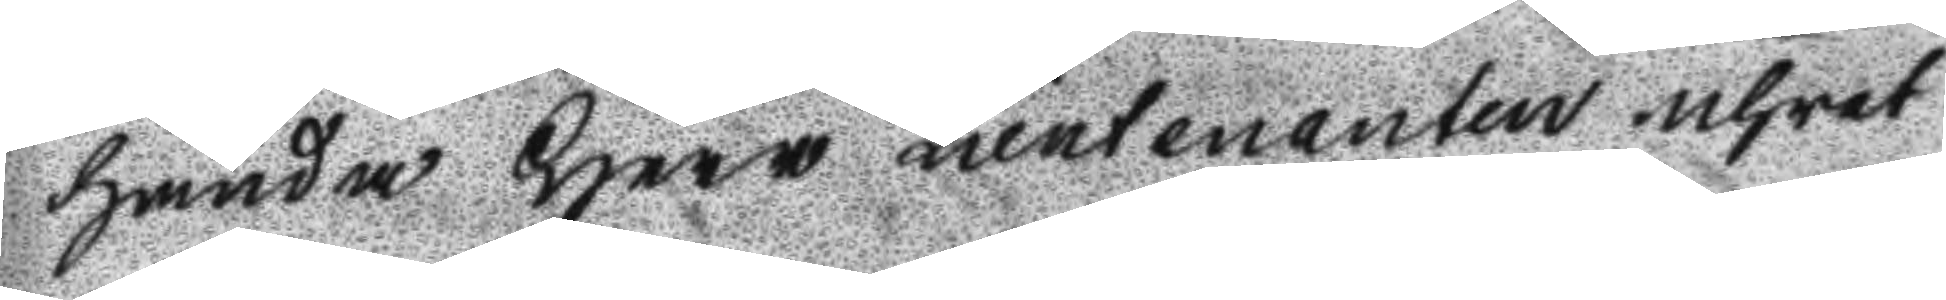hända Herr Lieutenanten uhret
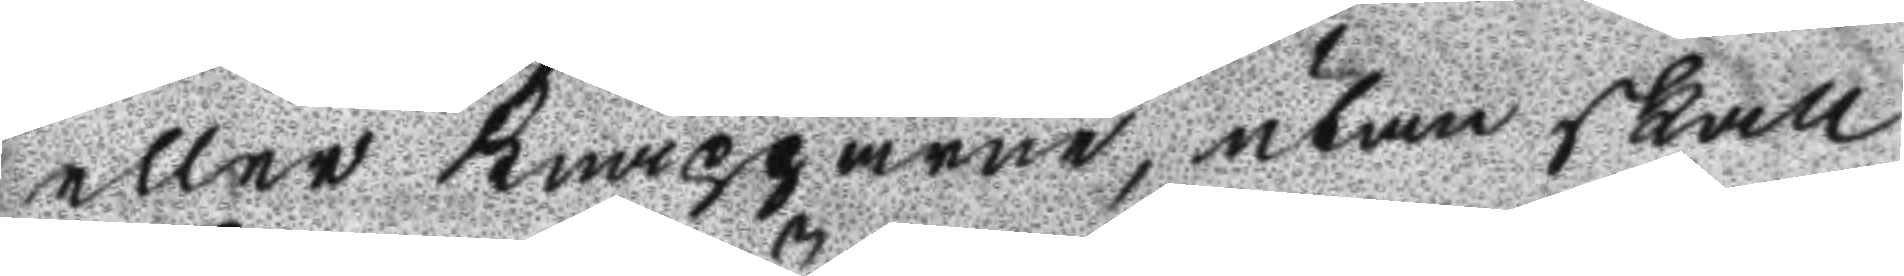eller knapparne, utan skall
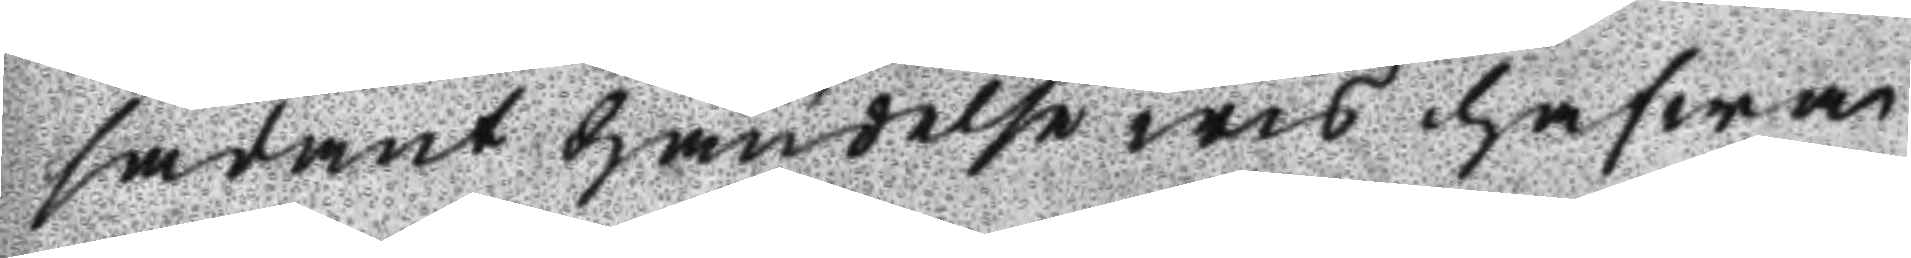sådant händelse wis hafwa
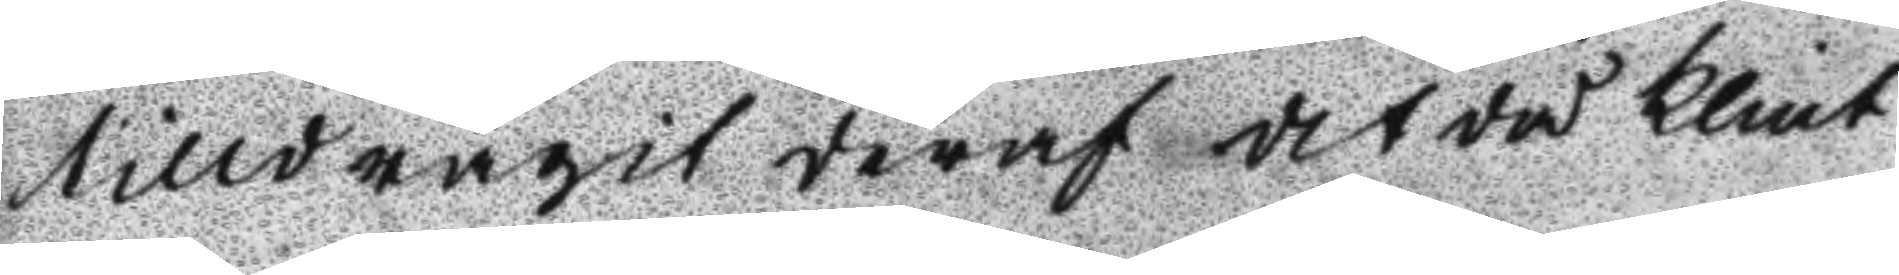tilldragit deraf det då Klint
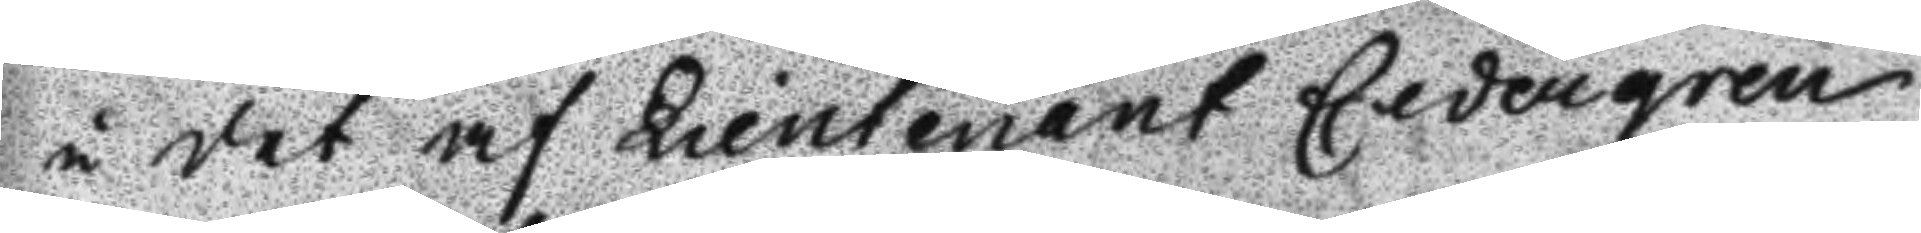i det af Lieutenant Cedergren
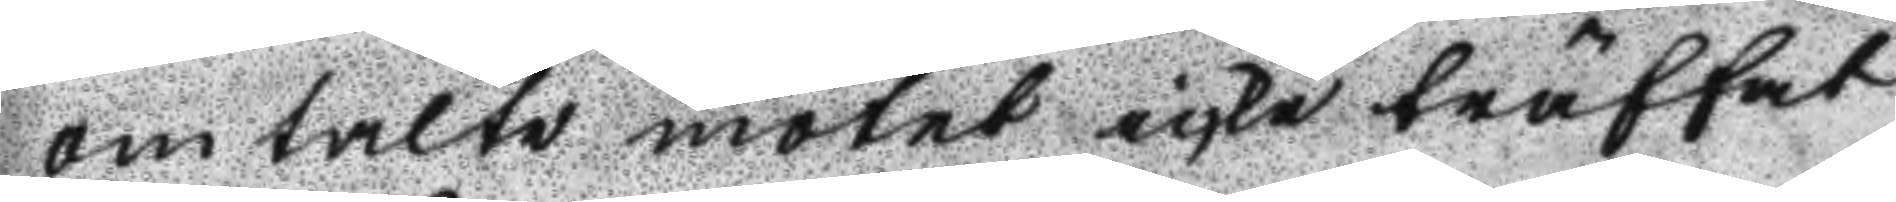omtalte mötet icke träffat
